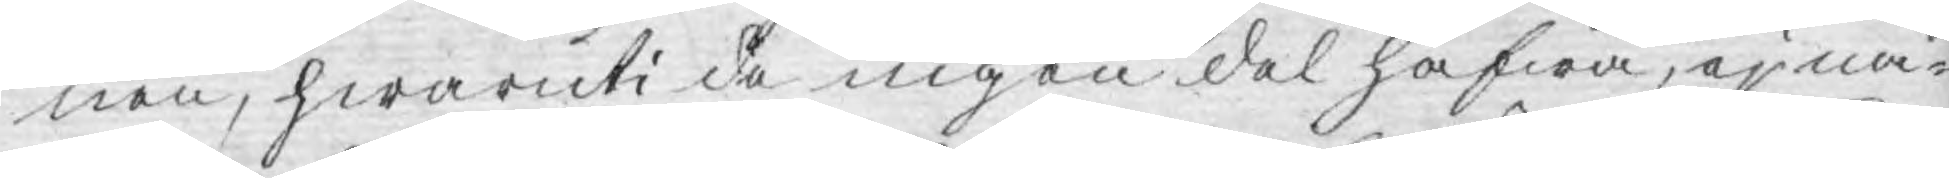nen, hwaruti de ingen del hafwa, ej nå¬
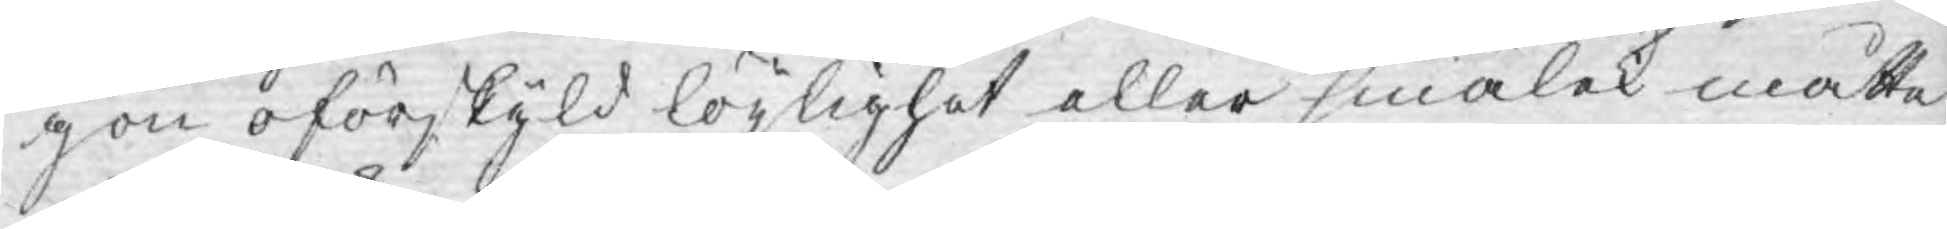gon oförskyld löjlighet eller smälek måtte
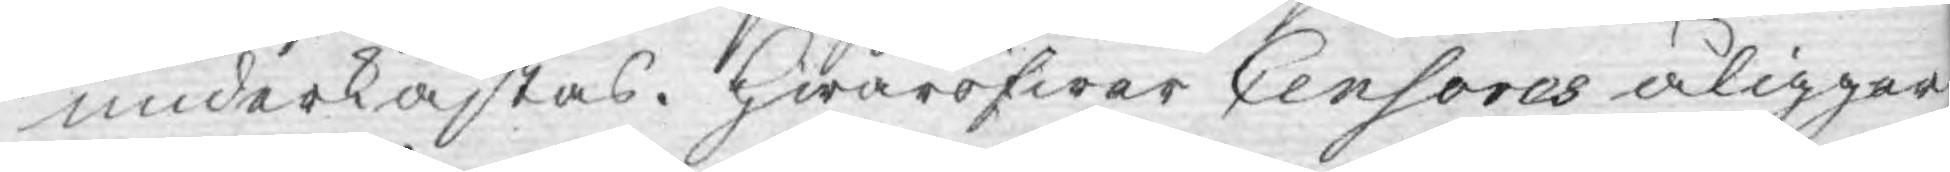underkastas. Hwaröfwer Censores åligger
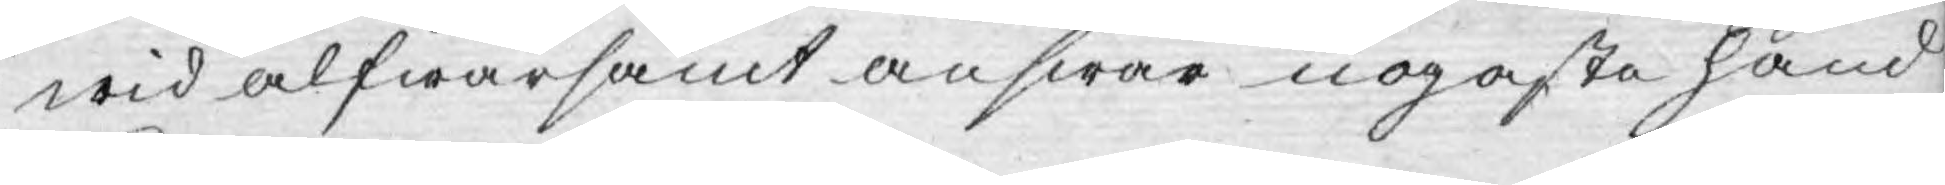wid alfwarsamt answar nogaste hand
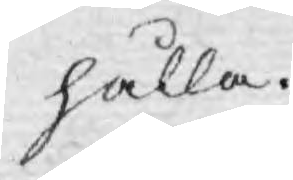hålla.
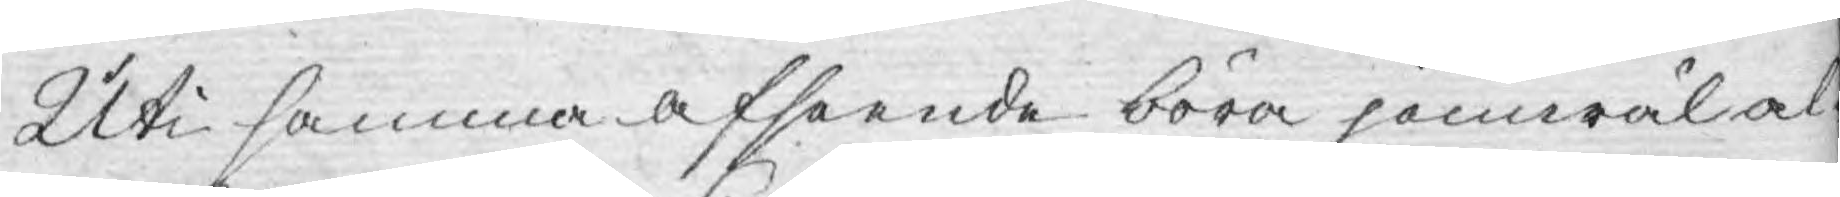Uti samma afseende böra jämwäl al¬
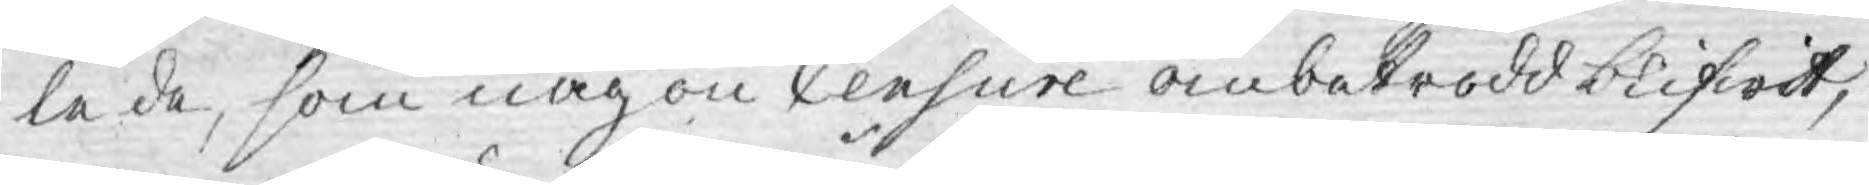le de, som någon Censure ombetrodd blifwit,
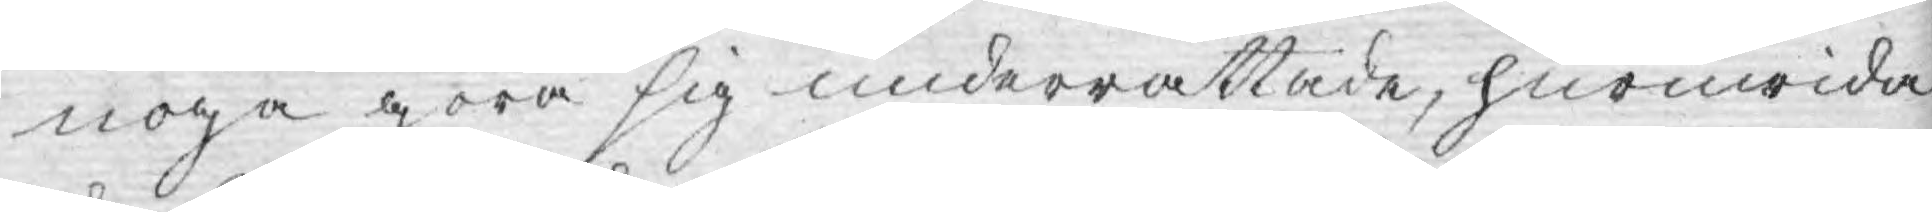noga göra sig underrättade, huruwida
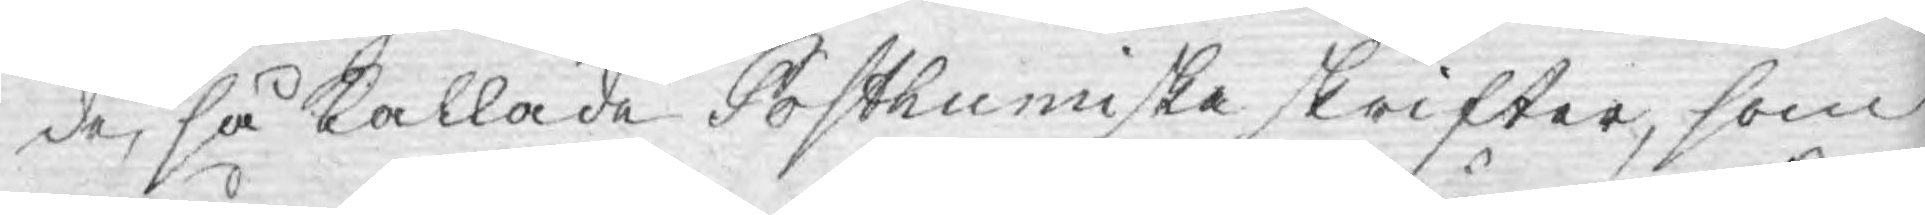de, så kallade Posthumiska skrifter, som
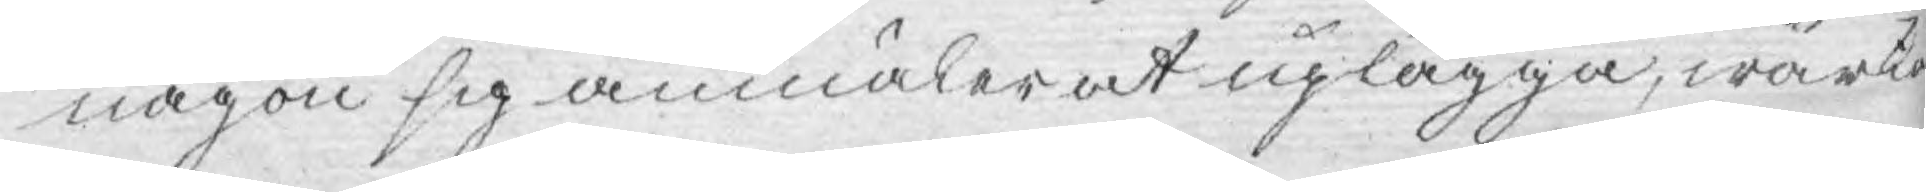någon sig anmäler at uplägga, wärke¬
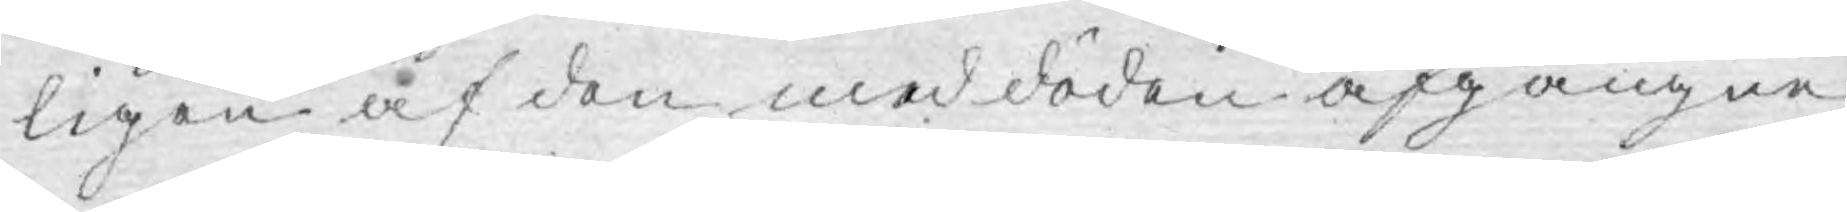ligen af den med döden afgångne
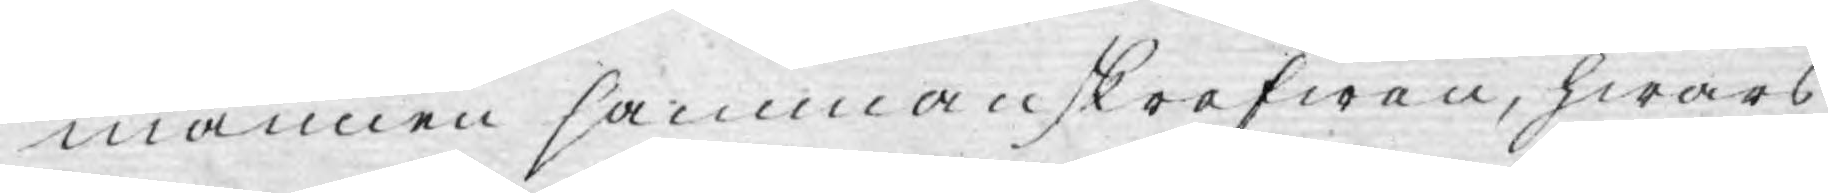mannen sammanskrefwen, hwars
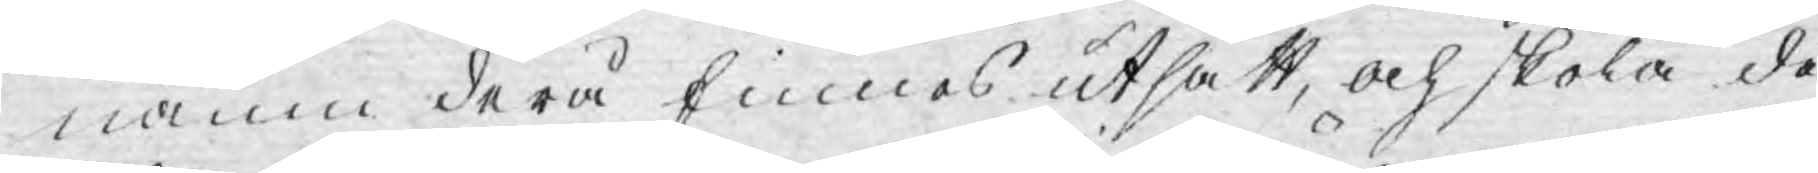namn derå finnes utsatt, och skola de
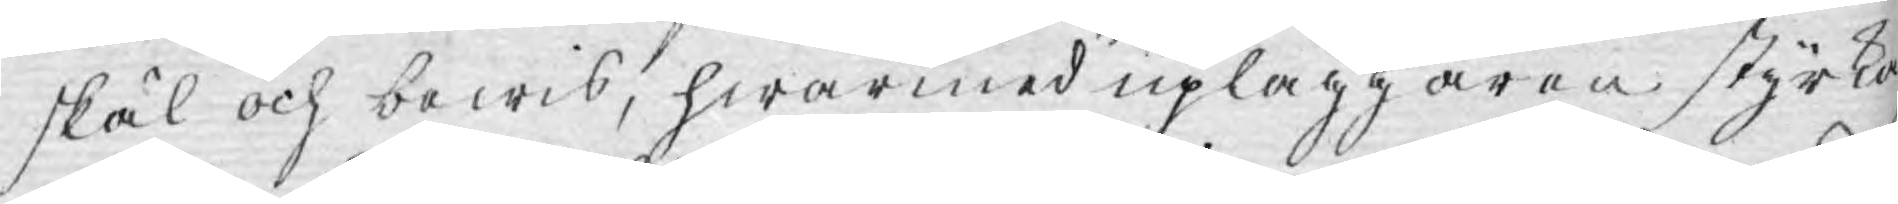skäl och bewis, hwarmed upläggaren styrka
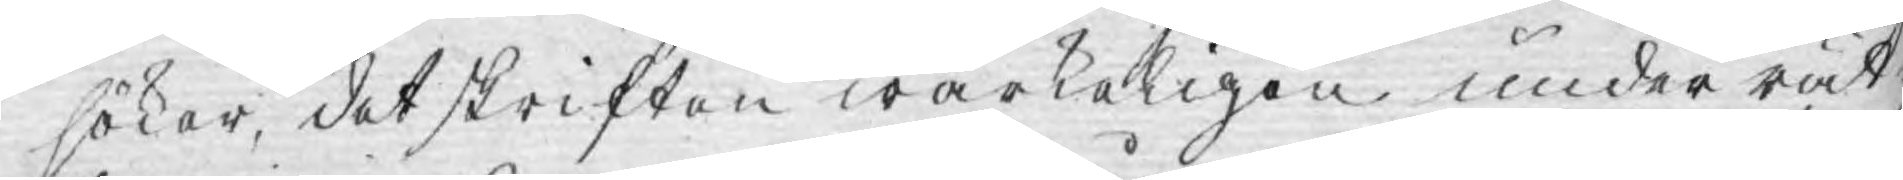söker, det skriften wärkeligen under rät¬
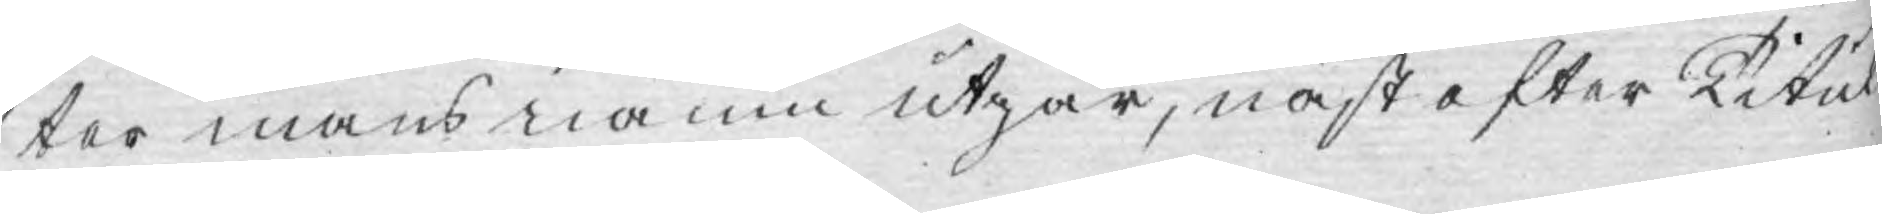ter mans namn utgår, näst efter Titul—
